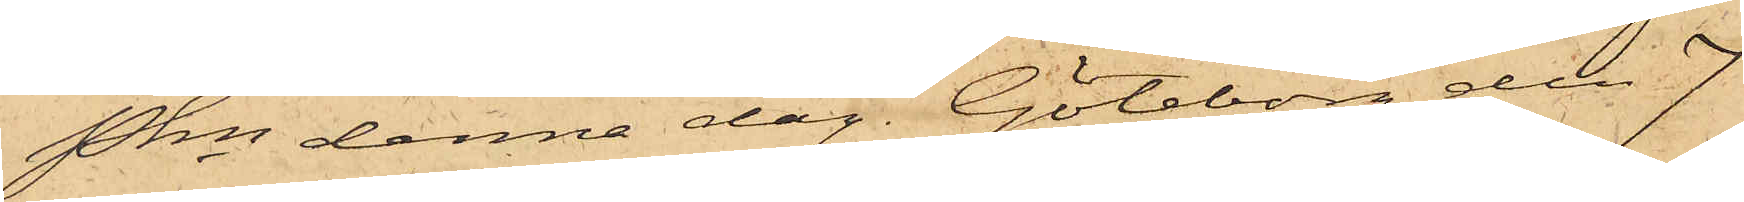Pkn denna dag. Göteborg den 7
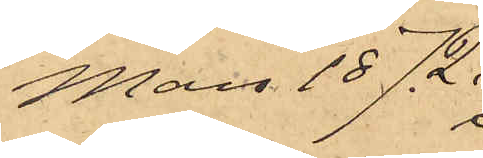Mars 1872.
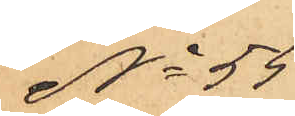No 55
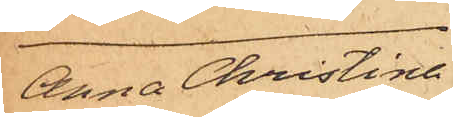Anna Christina
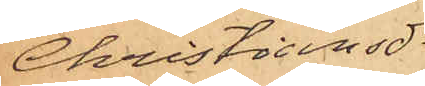Christiansdr
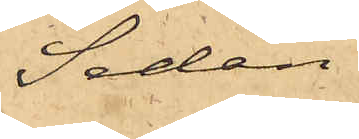Sedan
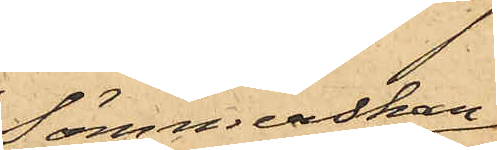Sömmerskan
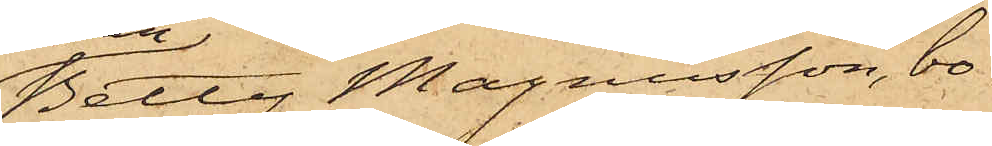Betty Magnusson, bo¬
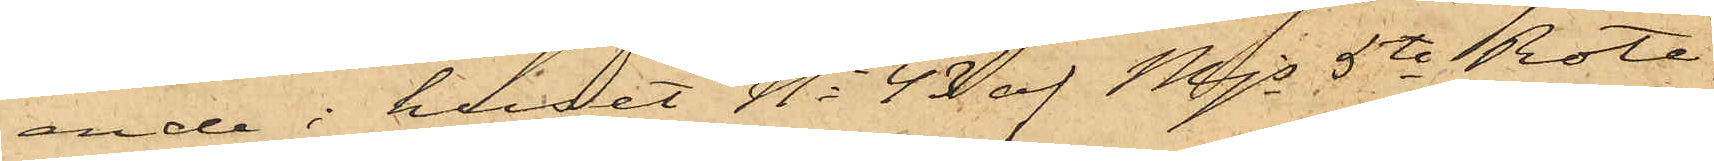ende i huset No 43 af Mjs 5te Rote,
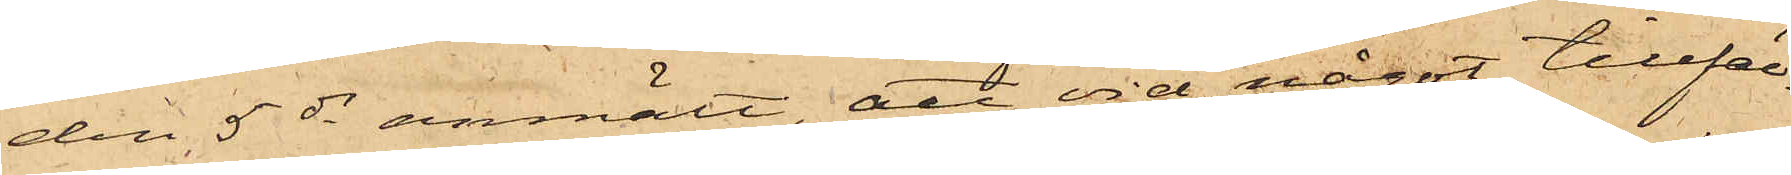den 5 ds anmält, att vid något tillfäl¬
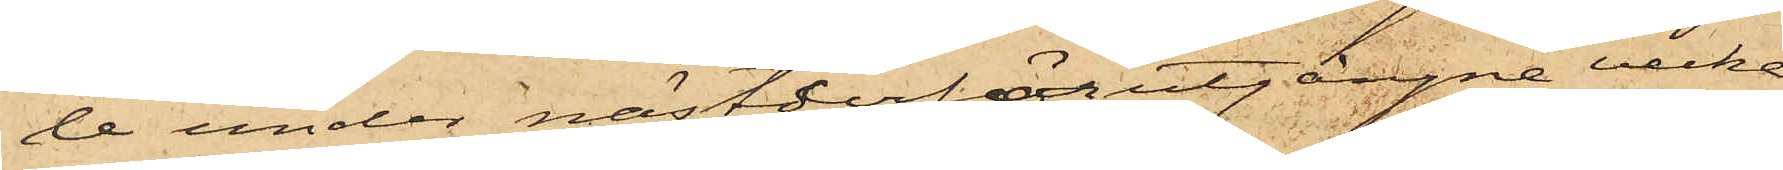le under nästderförutgångne vecka
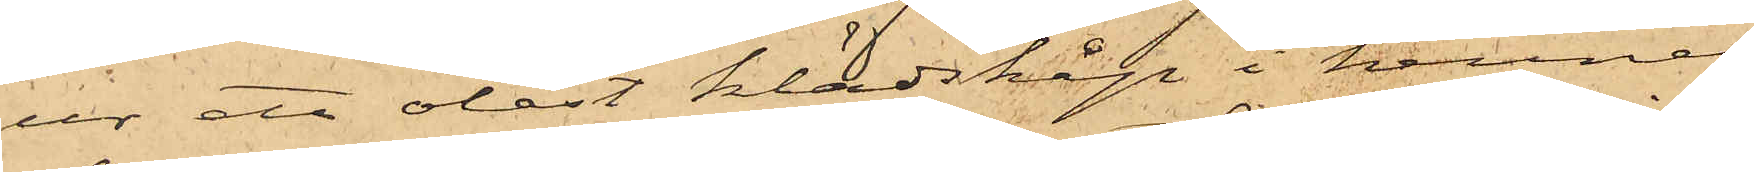ur ett olåst klädskåp i hennes
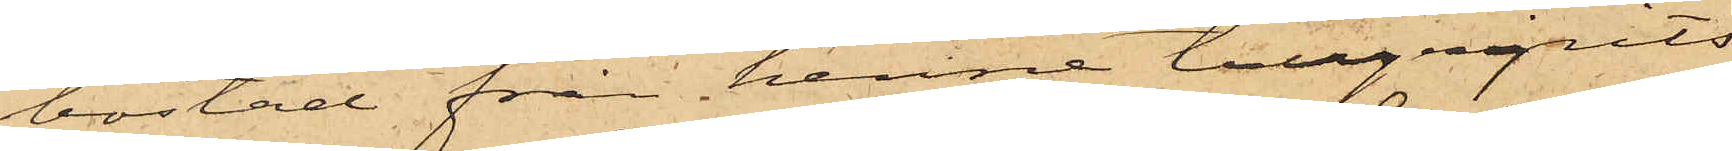bostad från henne tillgripits
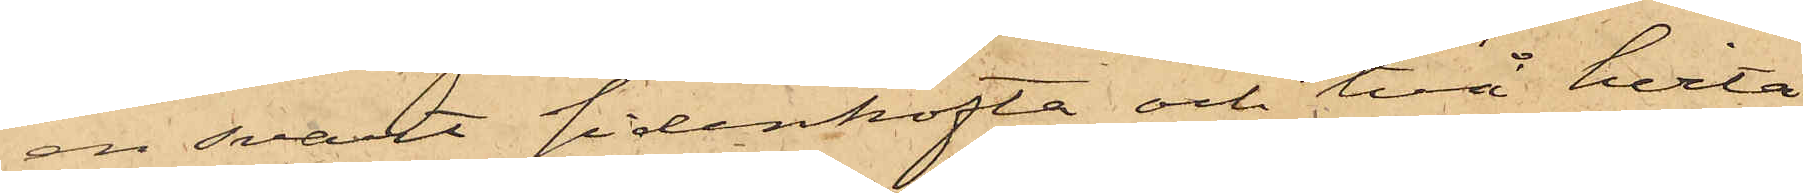en svart sidenkofta och två hvita
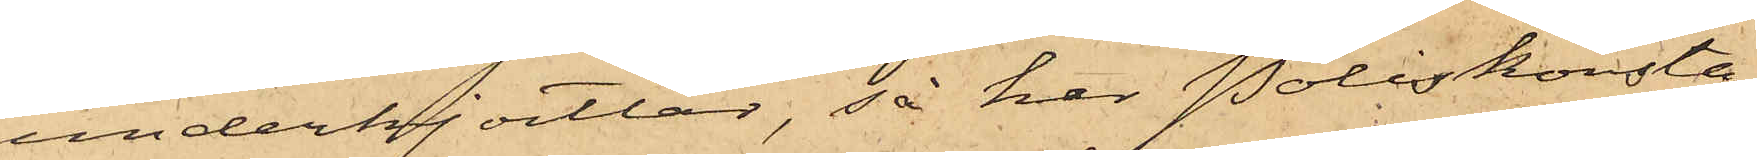underkjortlar, så har Poliskonsta¬
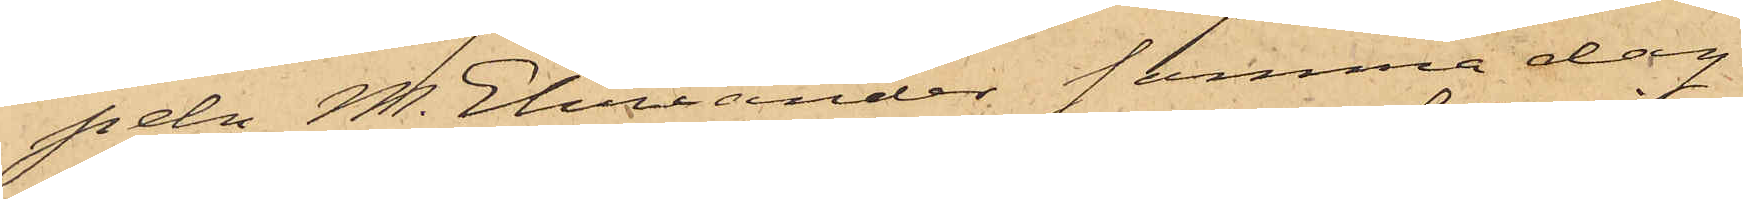peln M. Ehriander samma dag
